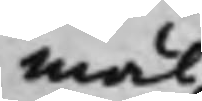mål
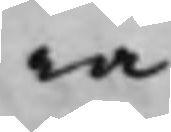ra.
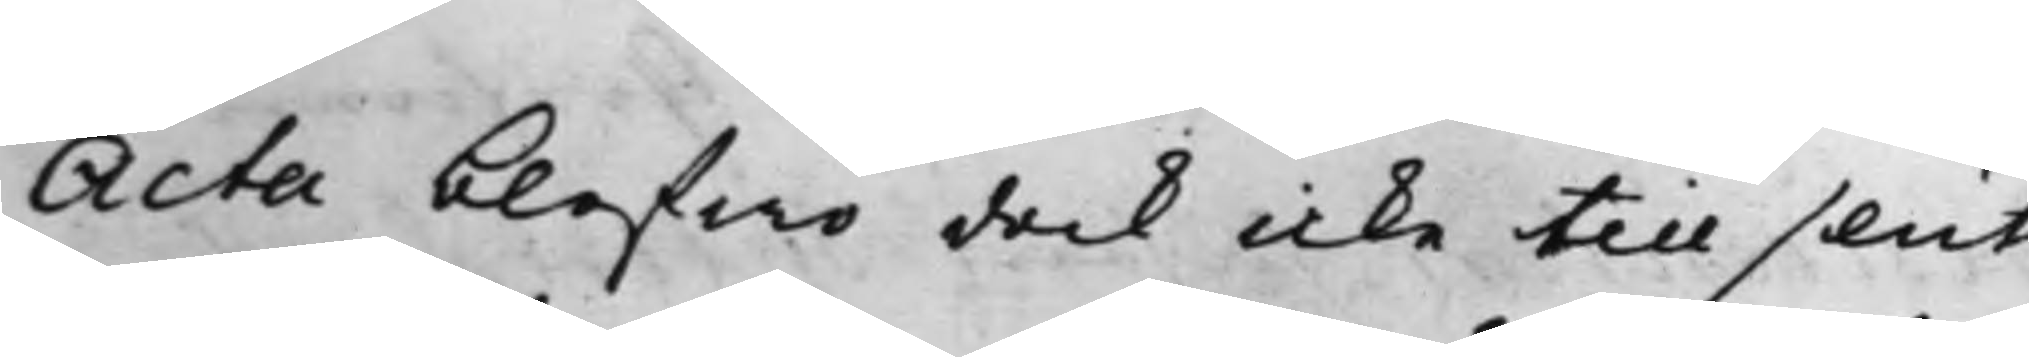Acta blefwo dock icke till slut
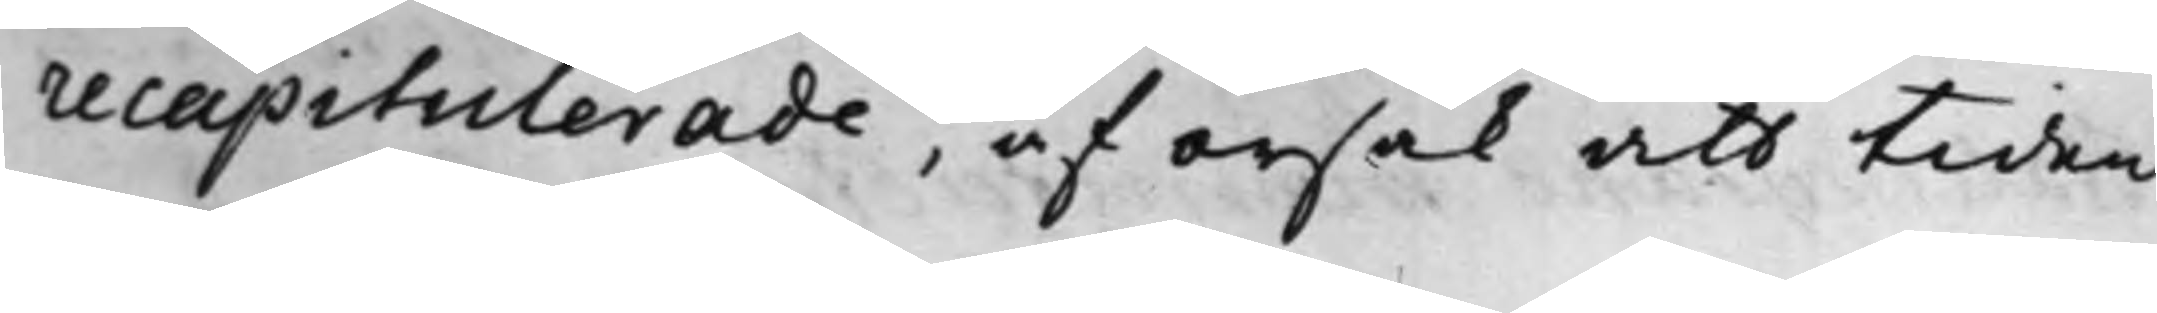recapituerade, af orsak att tiden
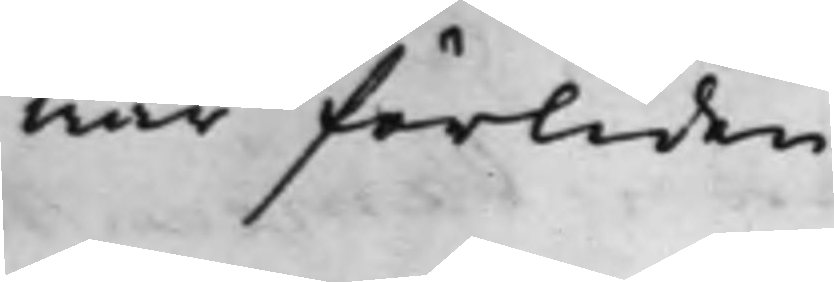war förliden.
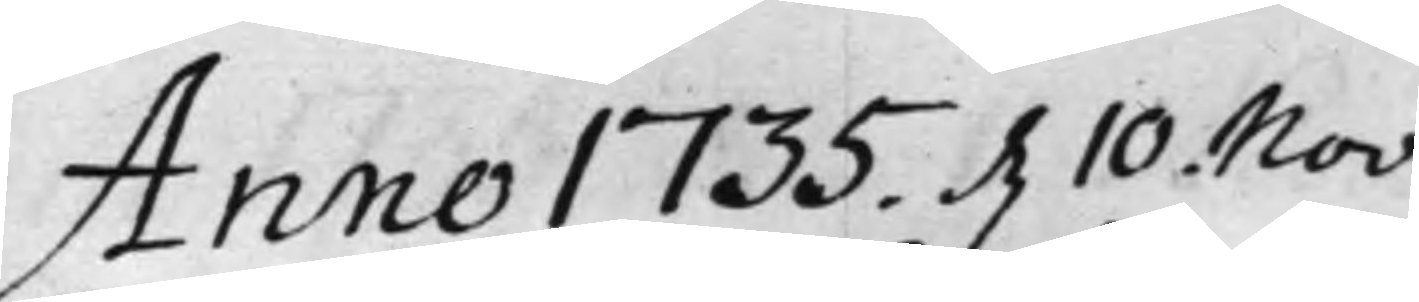Anno 1735. d. 10. Nov:
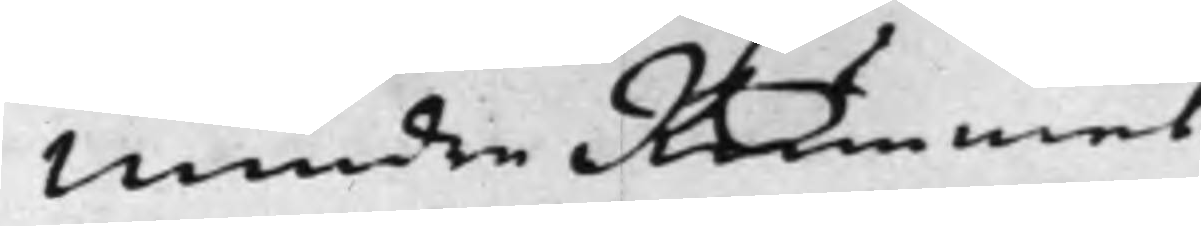Mindre Rummet.
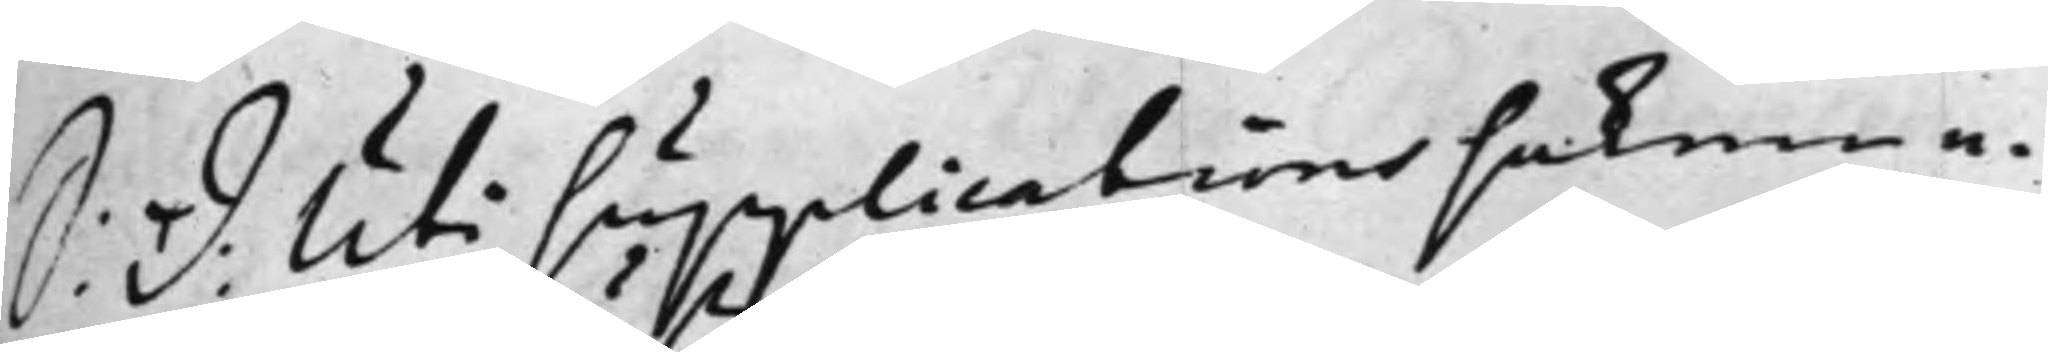S: d: Uti Supplications sakerne
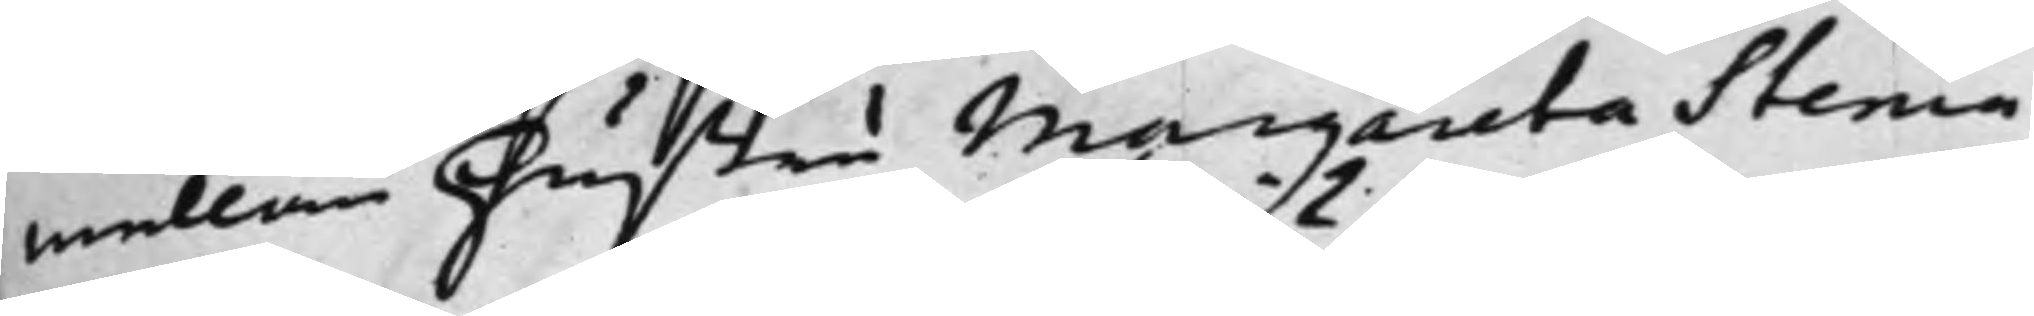mellan hustru Margareta Stenia
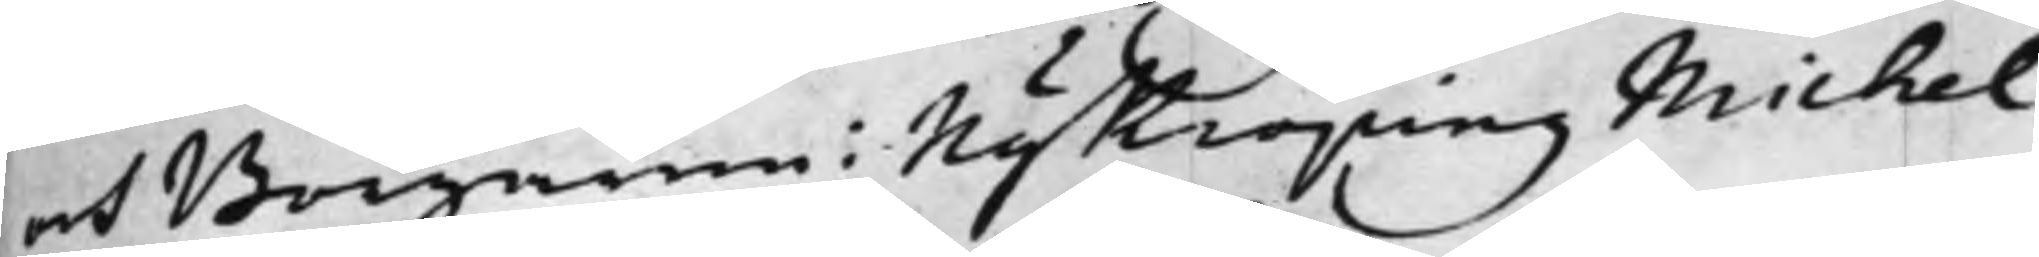och Borgaren i Nykiöping Michel
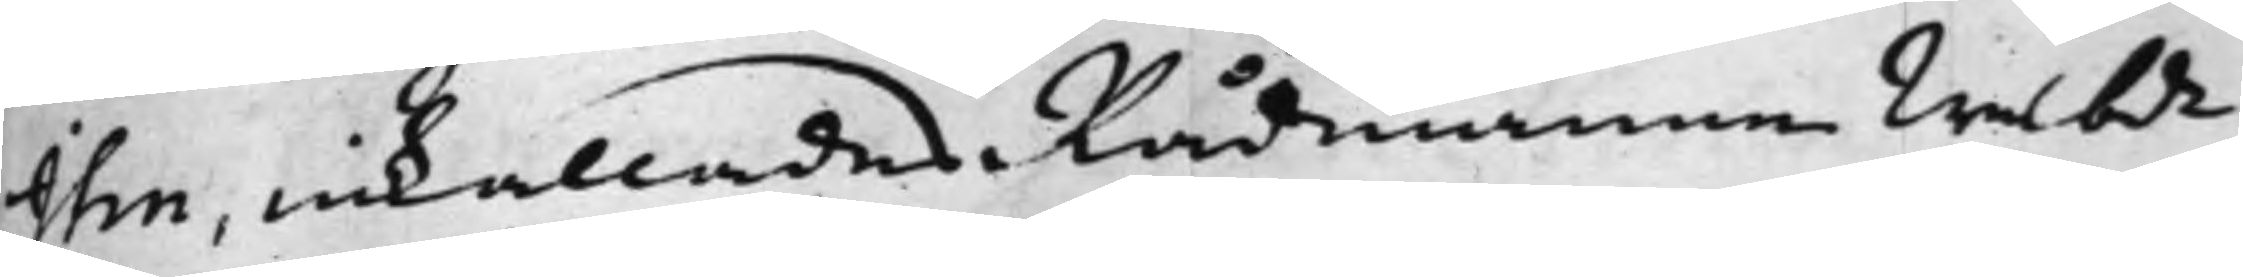Ihn, inkallades Rådmannen Wälbde
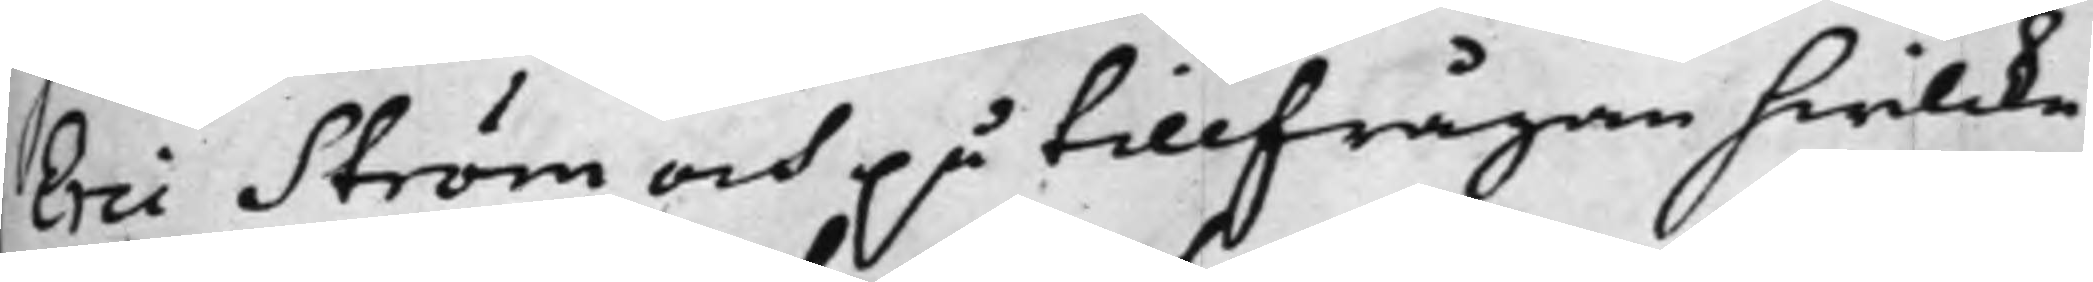Eric Ström och på tillfrågan hwilcka
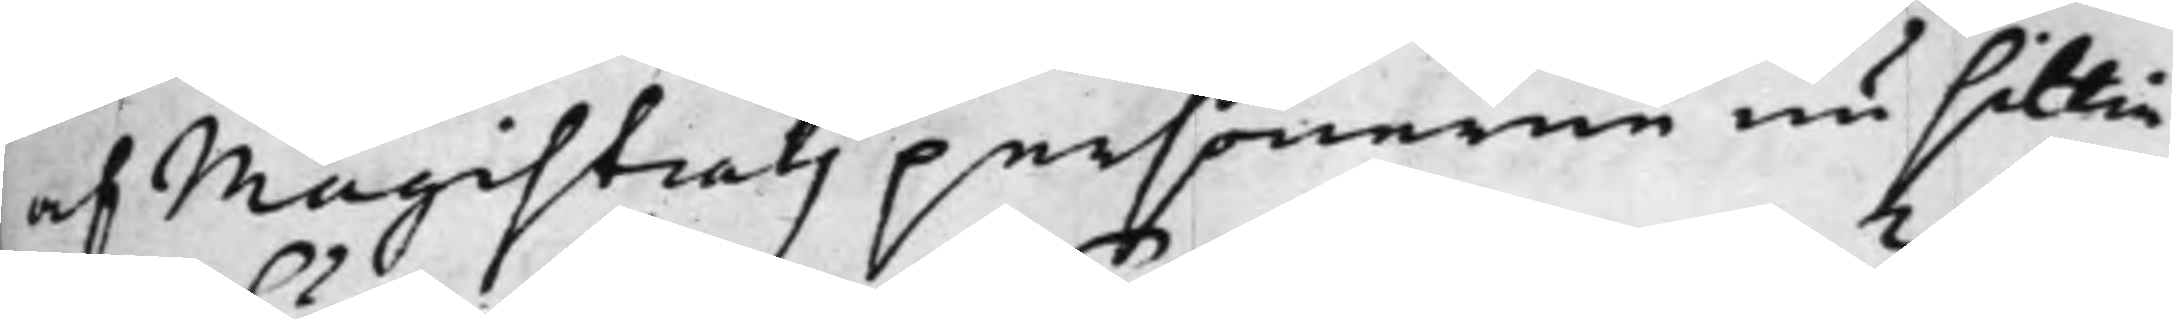af Magistratz personerne nu sittia
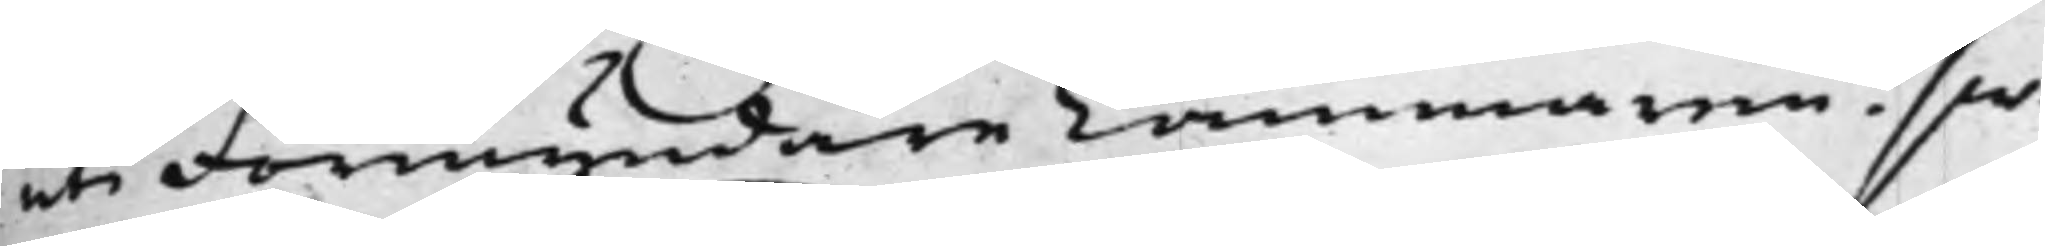uti Förmyndare Cammaren? sw:
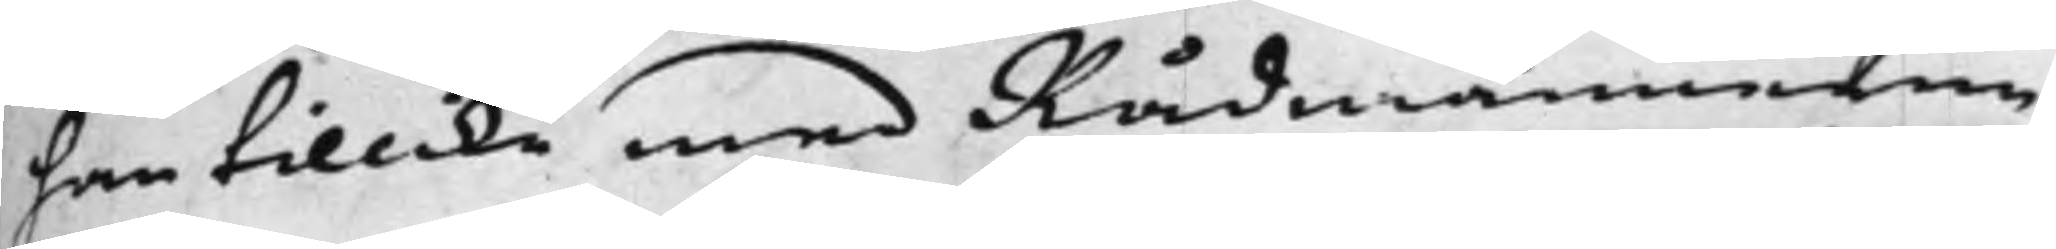han tillika med Rådmännerne
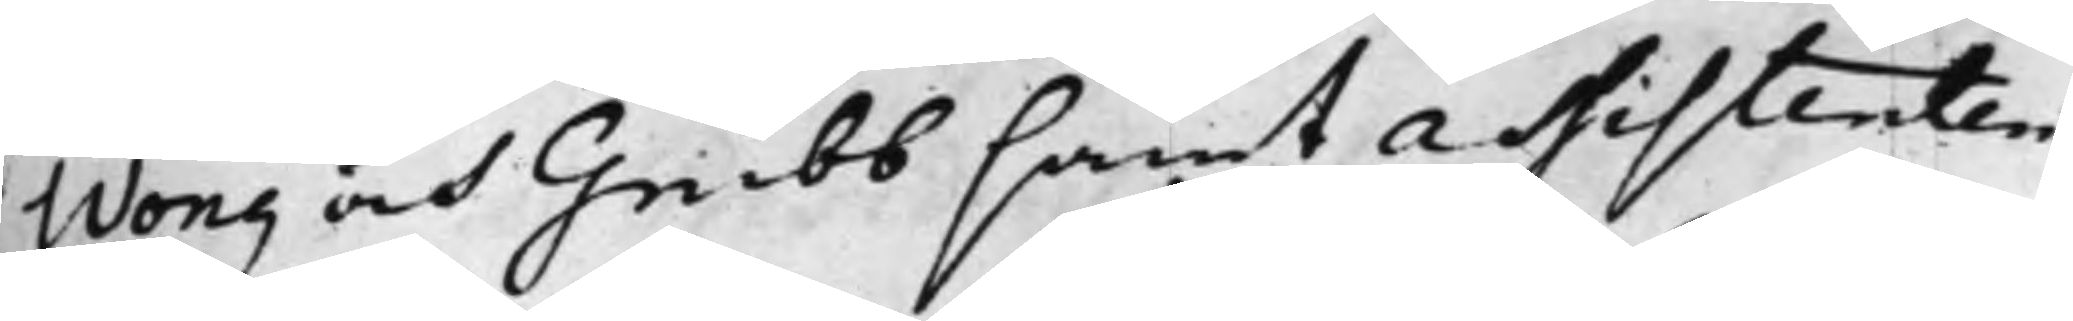Wong och Grubb samt Assistenten
